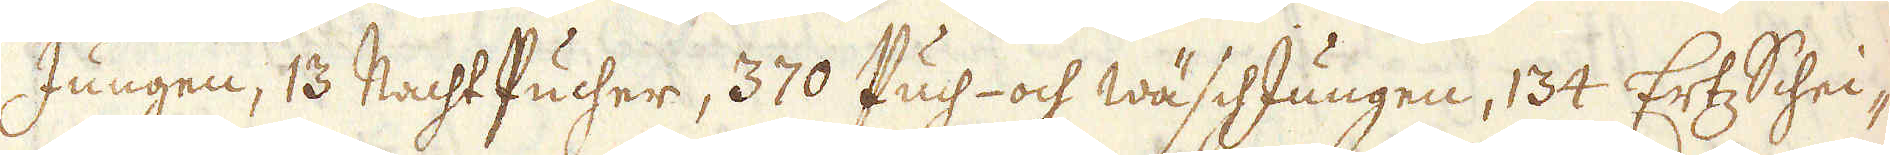Jungen, 13 Nacht Pucher, 370 Puch- och wäschJungen, 134 Ertz Schei-
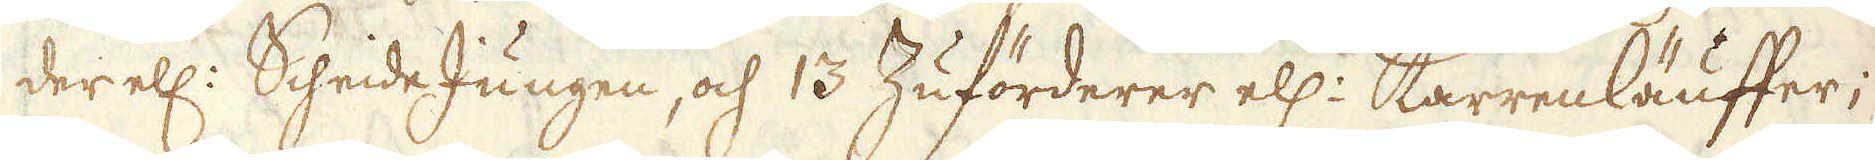der ell: Scheide Jungen, och 13 Zuförderer ell: Karrenläuffer;
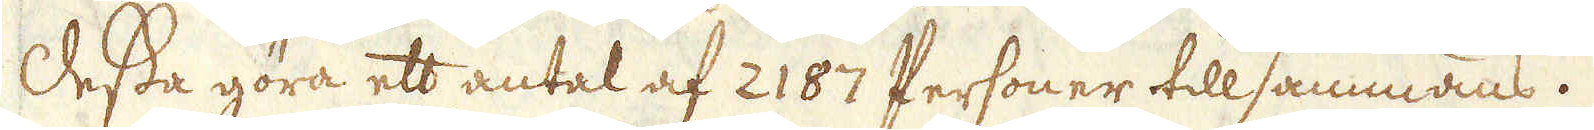Dessa göra ett antal af 2187 Personer tillsammans.
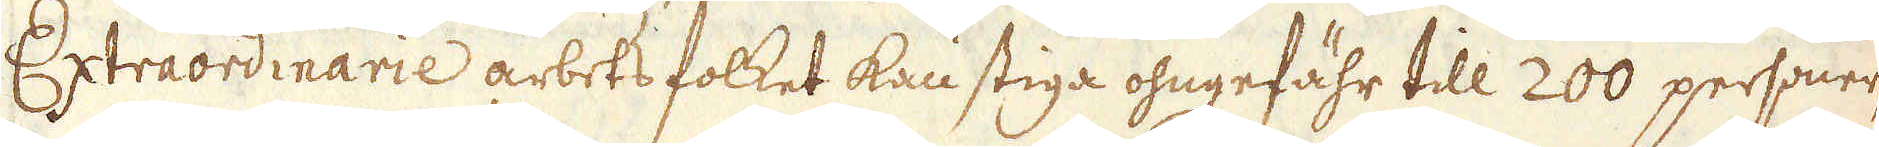Extraordinarie arbetsfolket kan stiga ohngefähr till 200 personer,
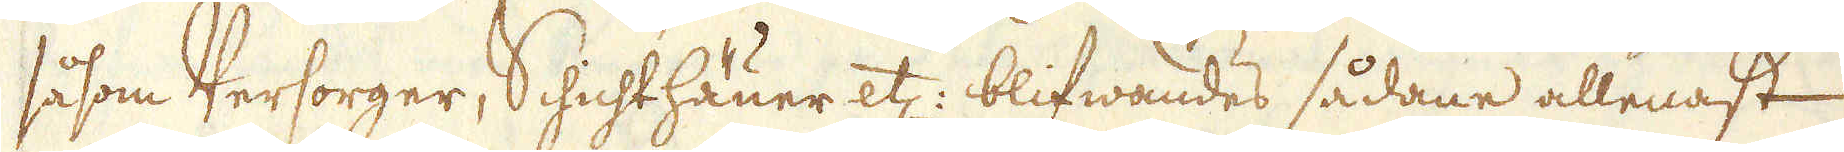såsom Versorger, Schichthäuer etc: blifwandes sådane allenast
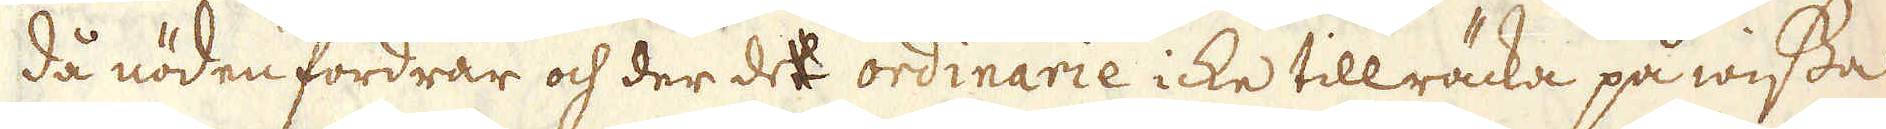då nöden fordrar och der de ordinarie icke tillräcka på wissa
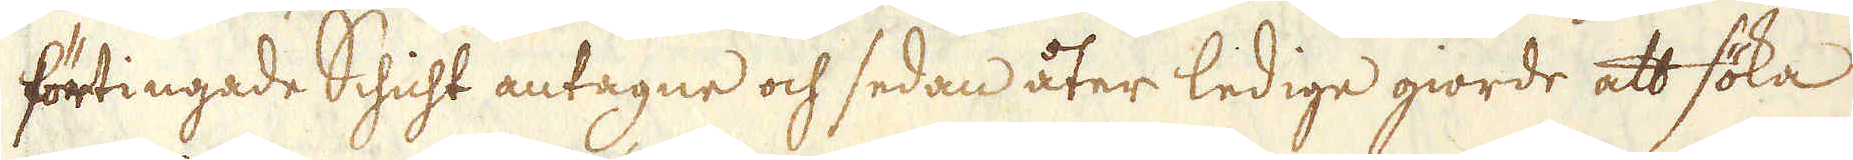förtingade Schicht antagne och sedan åter ledige giorde att söka
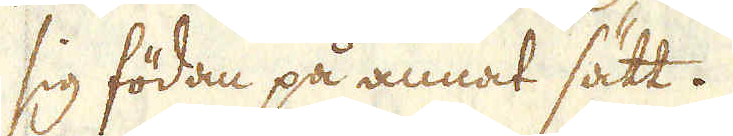sig födan på annat sätt.
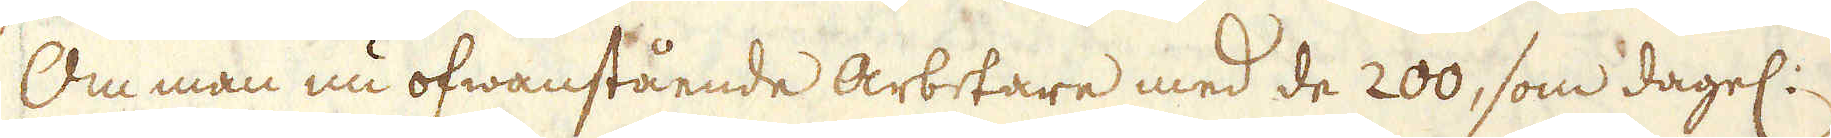Om man nu ofwanstående arbetare med de 200, som dagel:
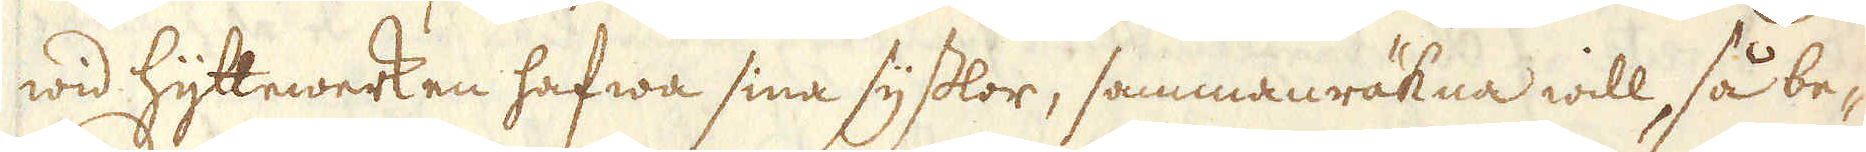wid hyttewerken hafwa sina sysslor, sammanräkna will, så be-
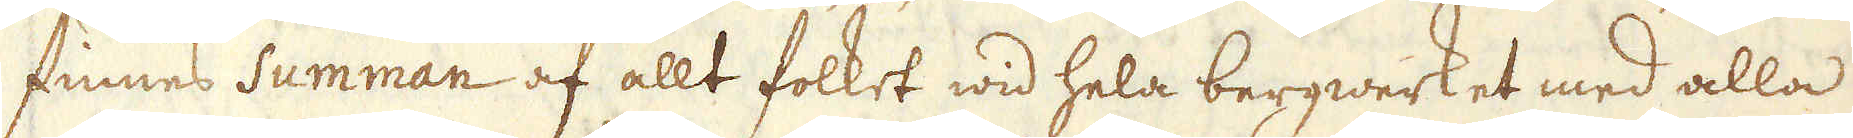finnes Summan af allt folket wid hela bergwerket med alla
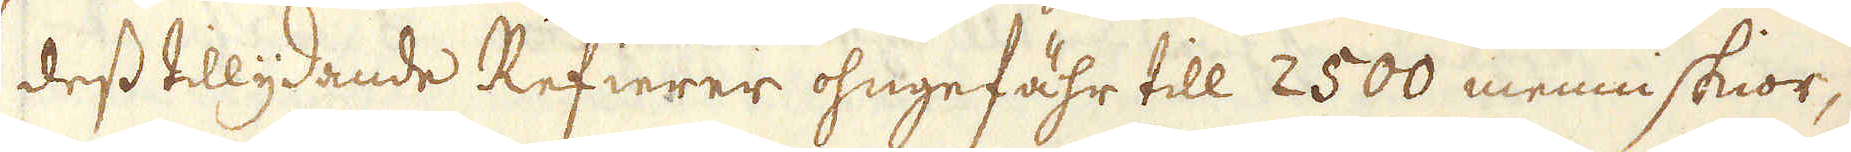dess tillydande Refierer ohngefähr till 2500 menniskior,
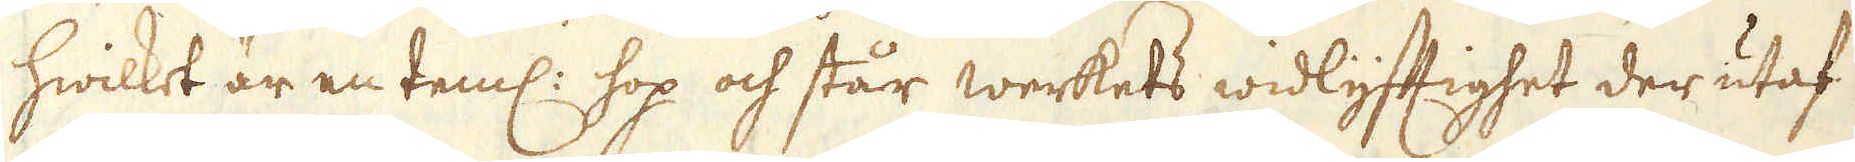hwilket är en teml: hop och står werkets widlyftighet der utaf
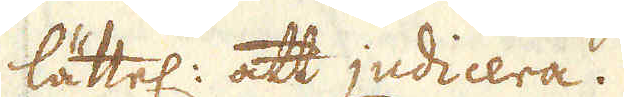lättel: att judicera.
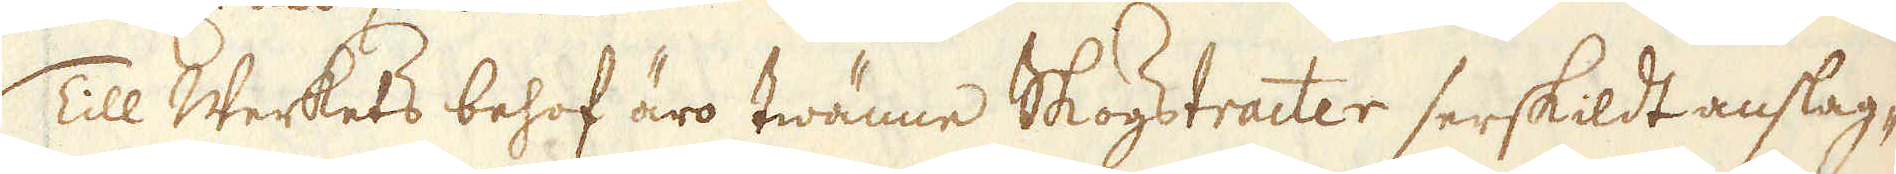Till Werkets behof äro twänne Skogstracter serskildt anslag-
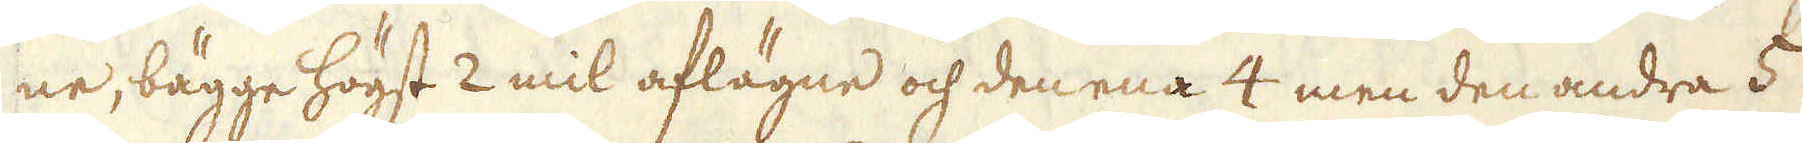ne, bägge högst 2 mil aflägne och den ena 4 men den andra 5
